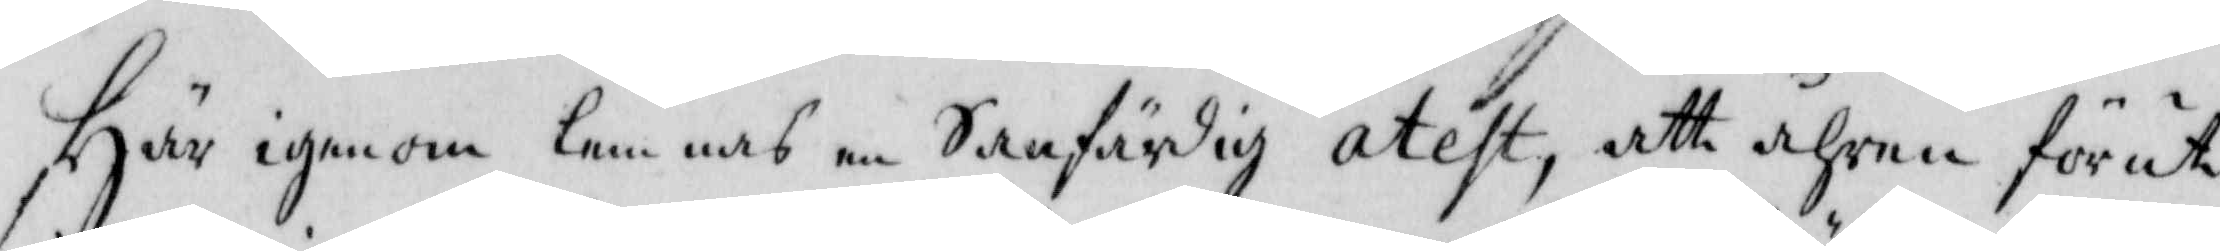Här igenom lemnas en Sanfärdig atest, att åhren förut
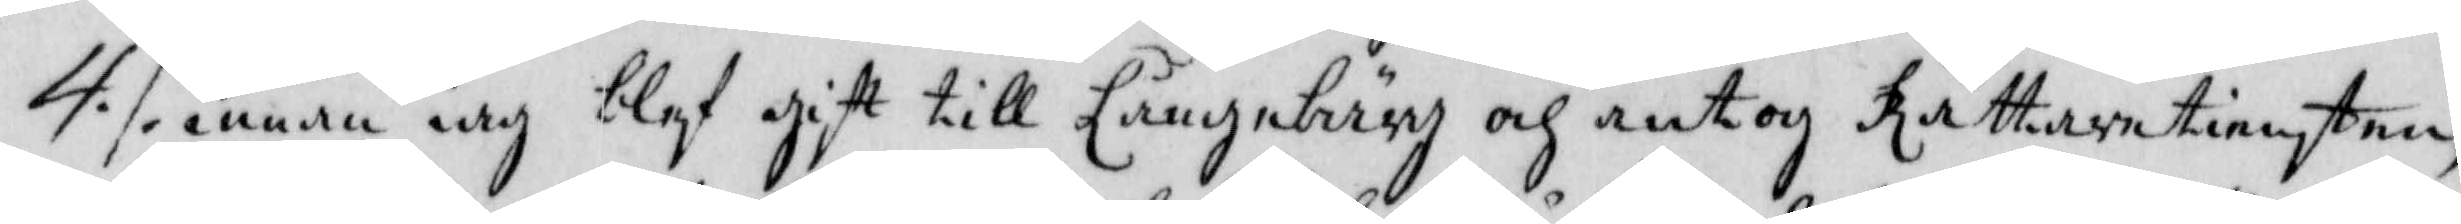4./. innan iag blef gift till Långebärg och antog Rättaretiensten
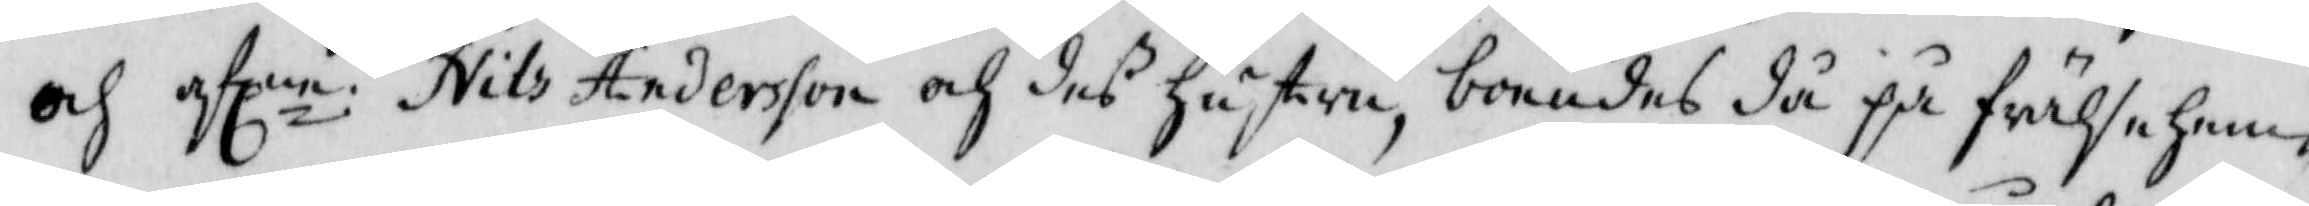och aflne Nils Andersson och des hustru, boendes då på frälsehem¬
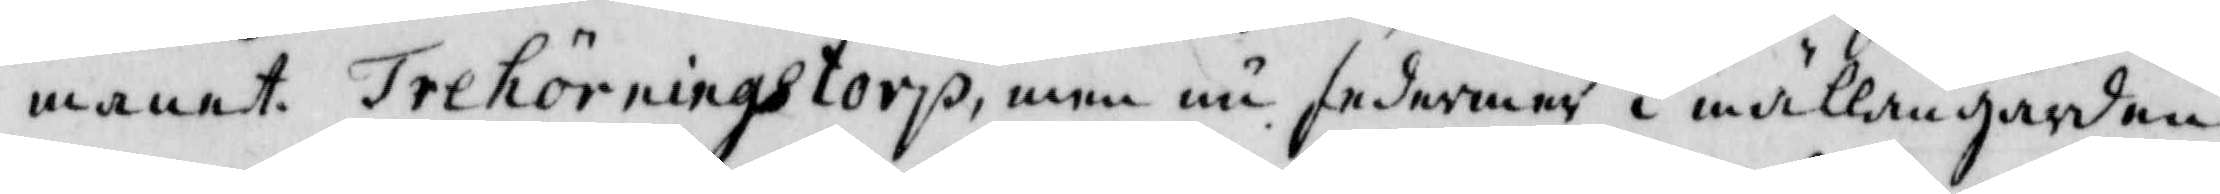manet Trehörningstorp, men nu sedermer i mällangården
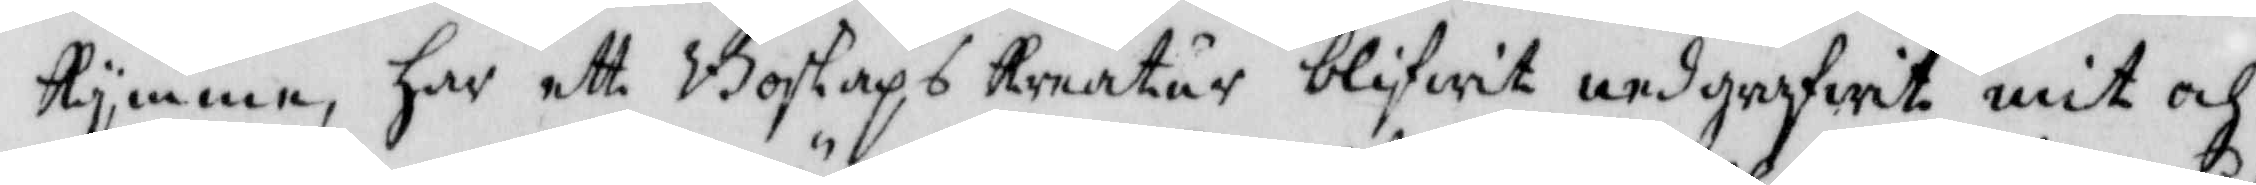Kymme, har ett Boskaps Kreatur blifwit nedgrefwit mit och
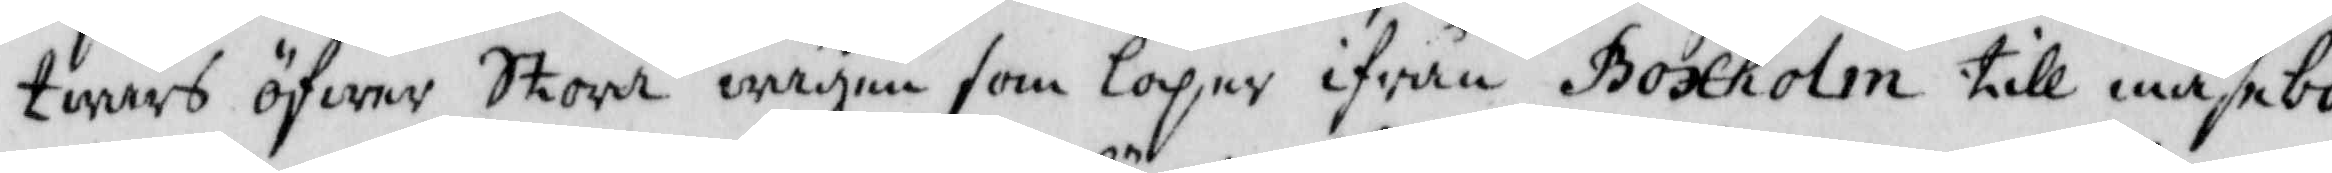twärs öfwer Stora wägen som löper ifrån Boxholm till måsebo
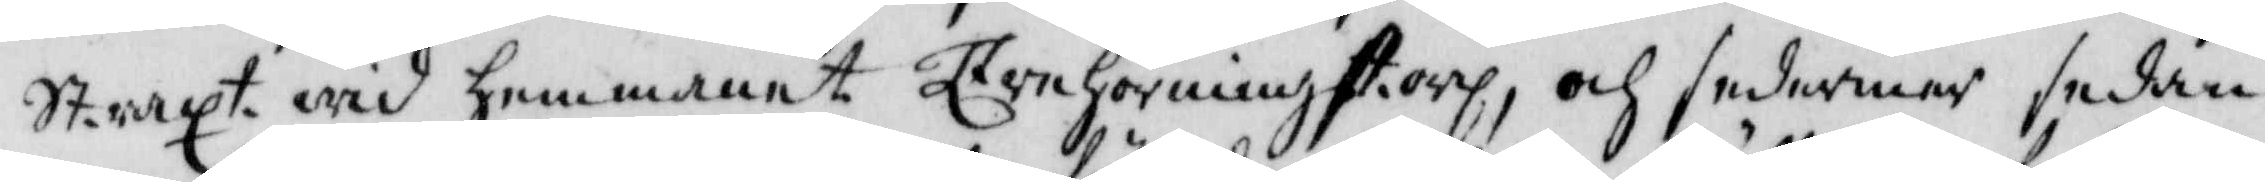Straxt wid hemmanet Trehörningstorp, och sedermer sedan
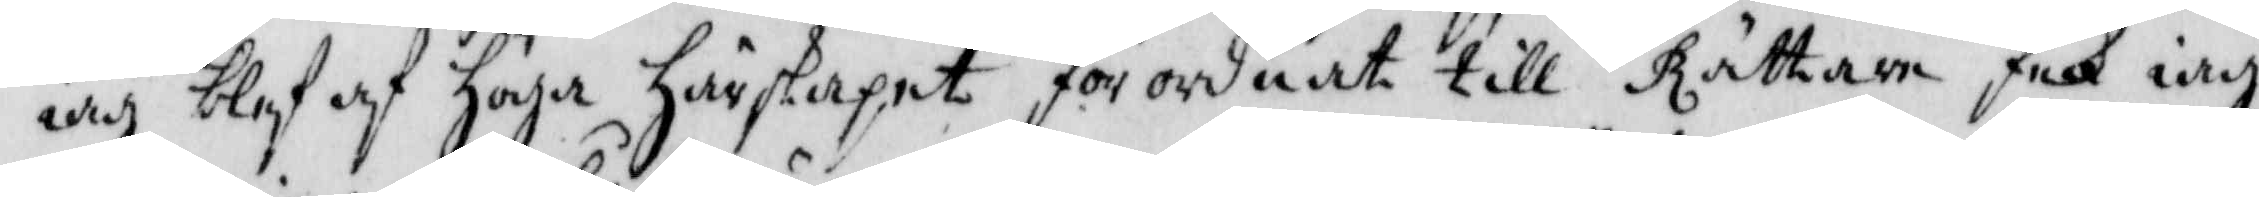jag blef af höga härskapet förordnat till Rättare feck iag
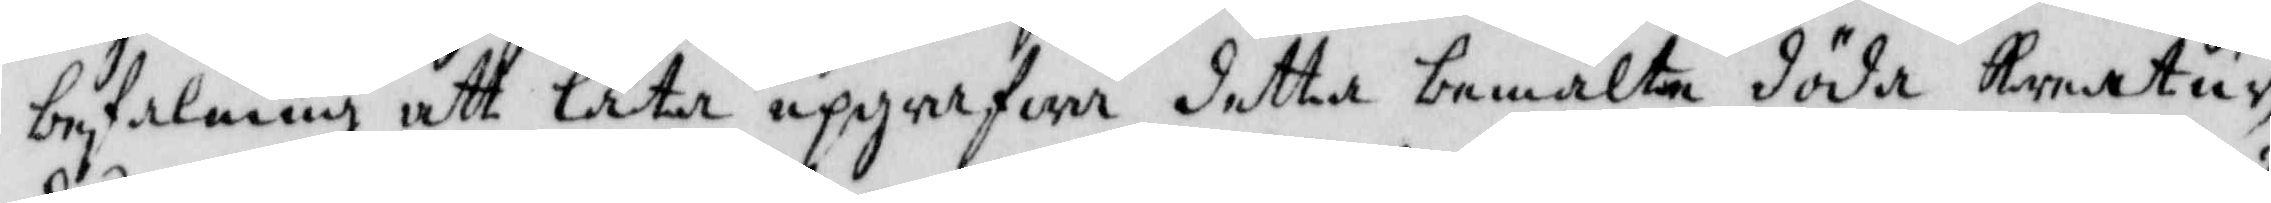befalning att låta uppgrefwa detta bemälte döda Kreatur,
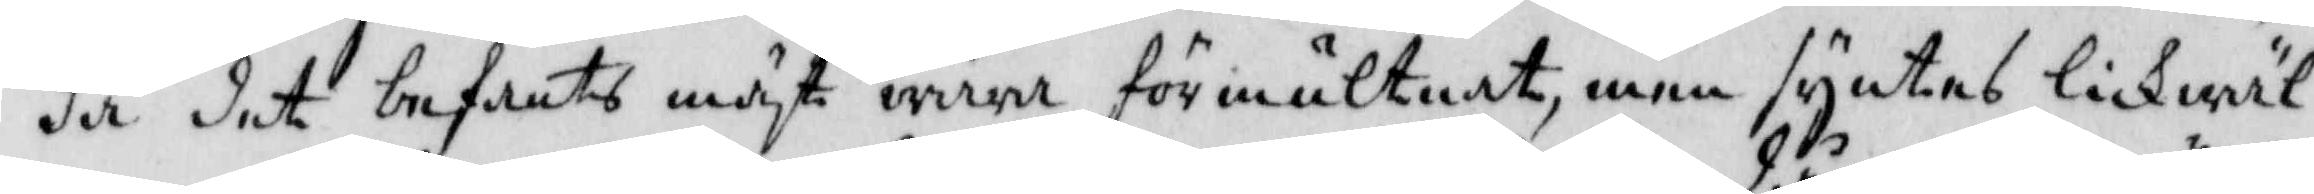då det befants mäst wara förmultnat, men syntes lickwäl
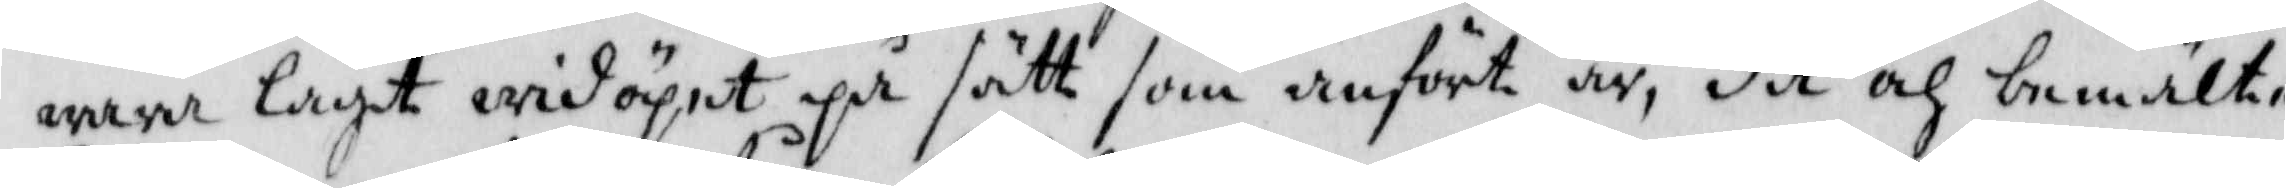wara lagt widöpet på sätt som anfört är, då och bemälte
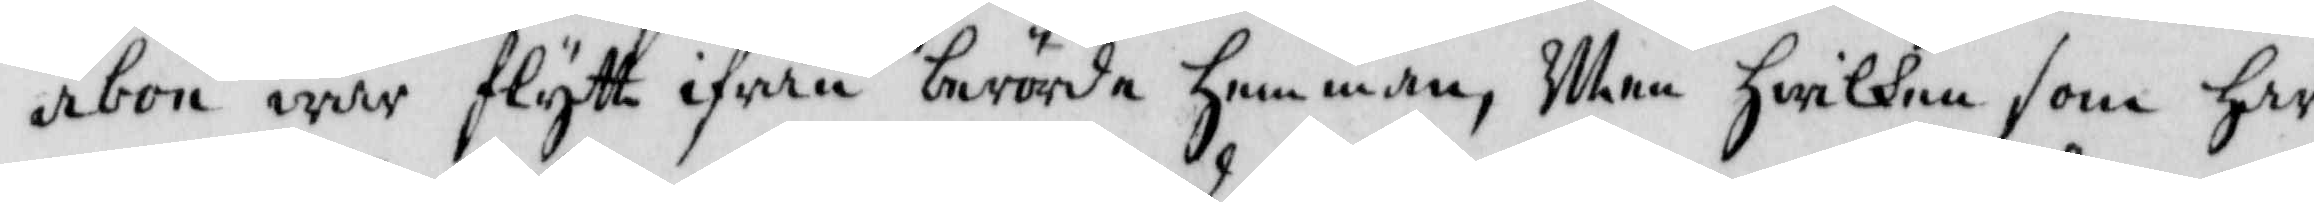åbon war flytt ifrån berörde hemman, Men hwilken som har
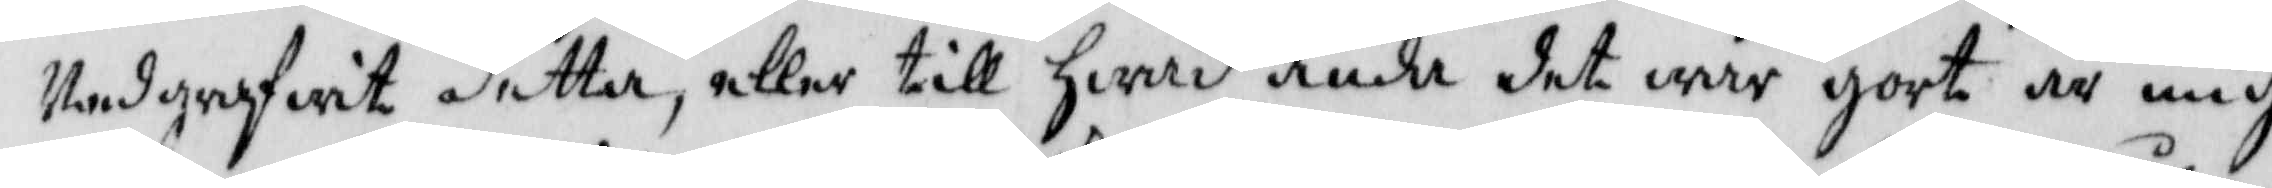Nedgrefwit detta, eller till hwad ända det war gort är mig
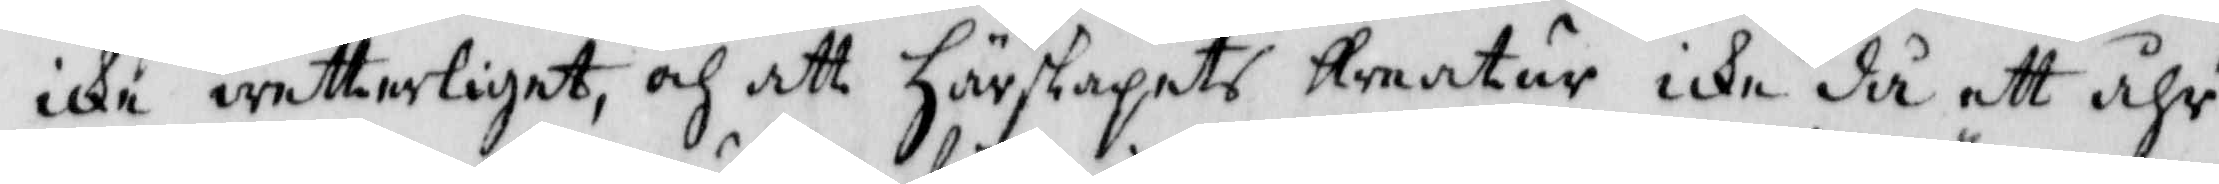icke wetterliget, och att härskapets Kreatur icke då ett åhr
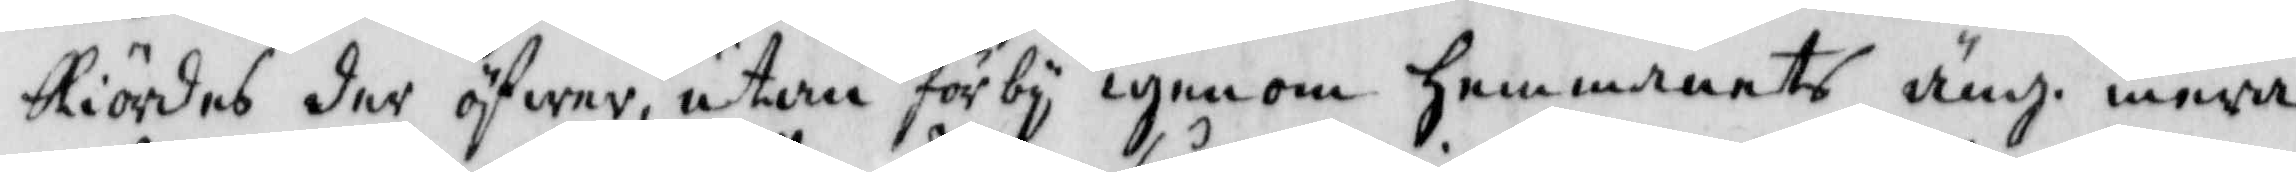Kiördes der öfwer, utan förby igenom hemmanets äng. mera
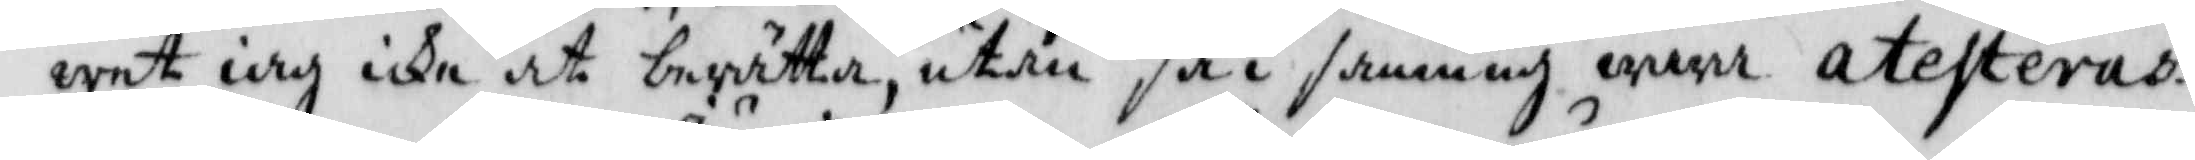wet iag icke at berätta, utan så i sanning wara. atesteras.
